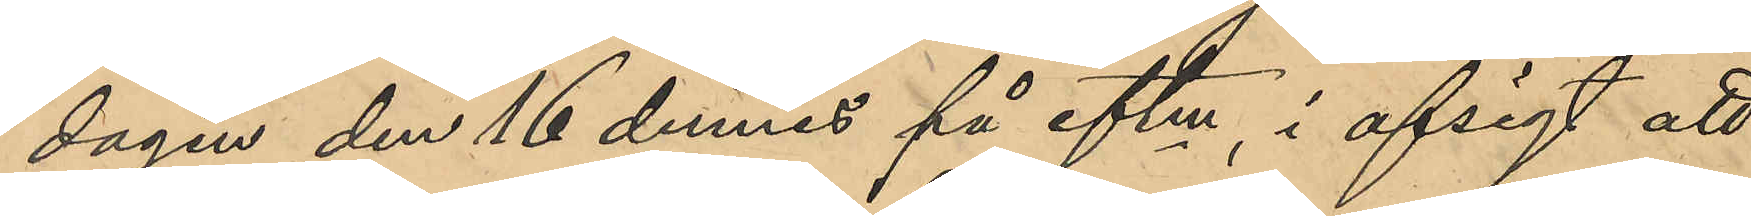dagen den 16 dennes på eftm , i afsigt att
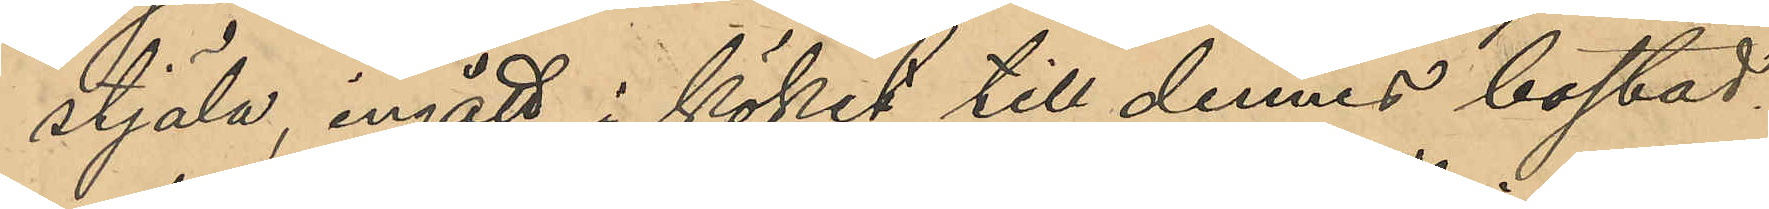stjäla, ingått i köket till dennes bostad
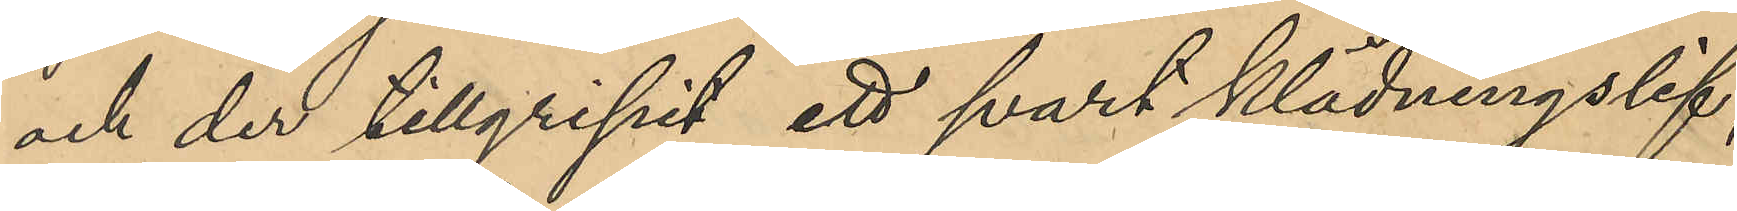och der tillgripit ett svart klädningslif,
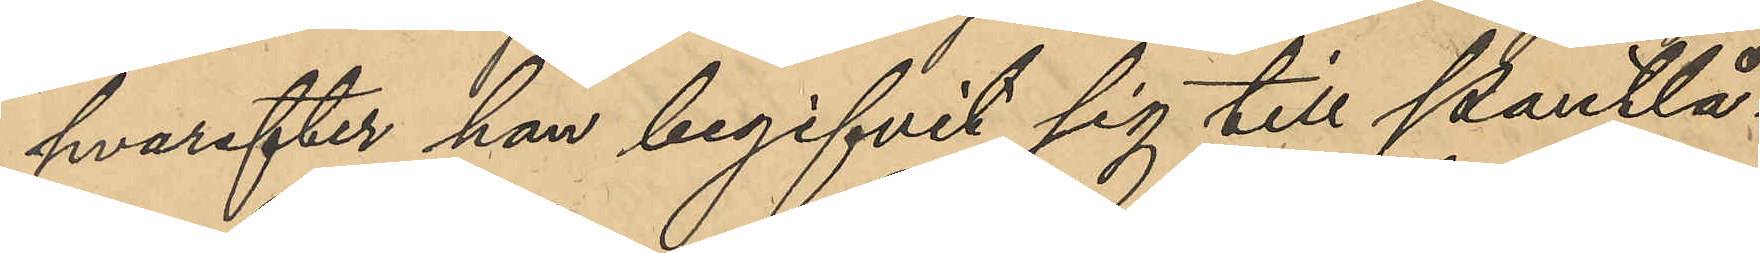hvarefter han begifvit sig till Pantlå¬
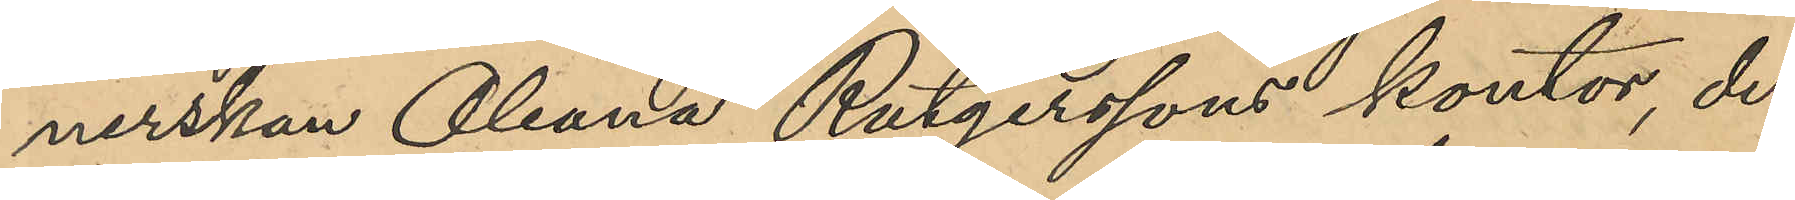nerskan Oleana Rutgerssons kontor, der
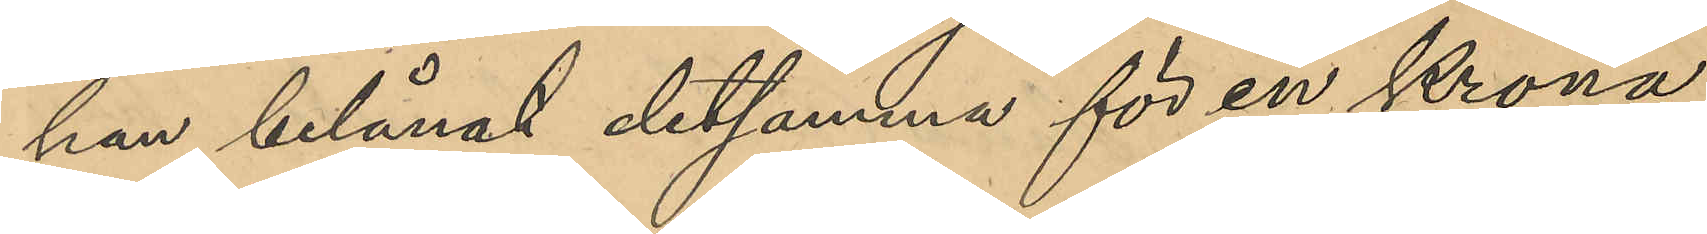han belånat detsamma för en Krona,
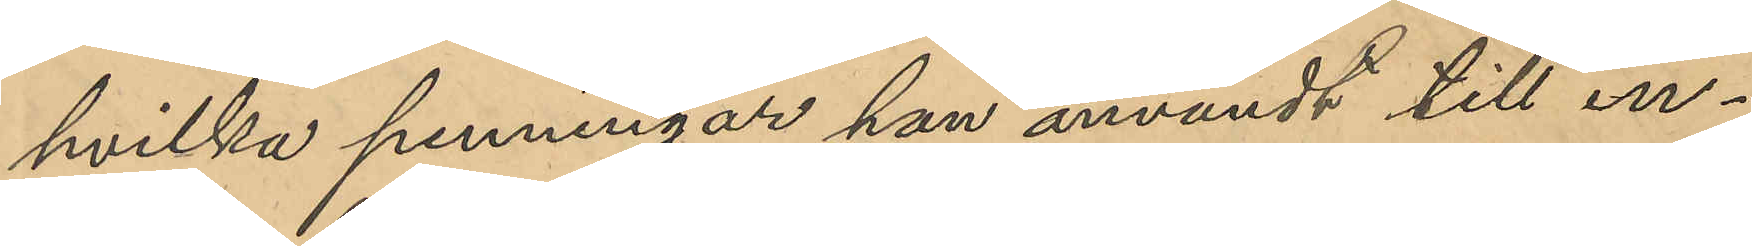hvilka penningar han användt till in¬
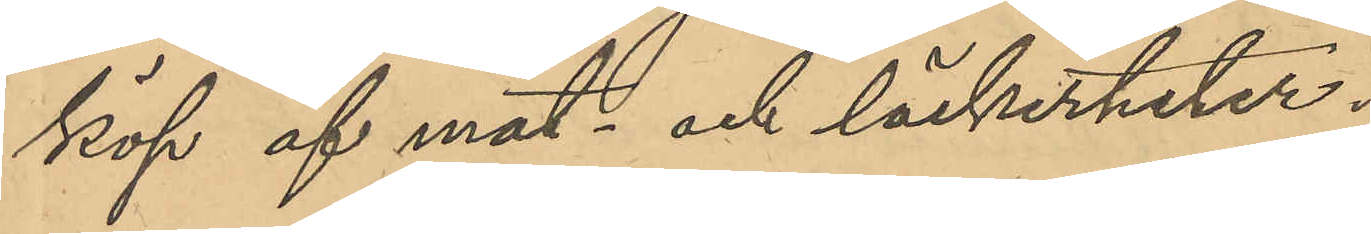köp af mat och läckerheter.
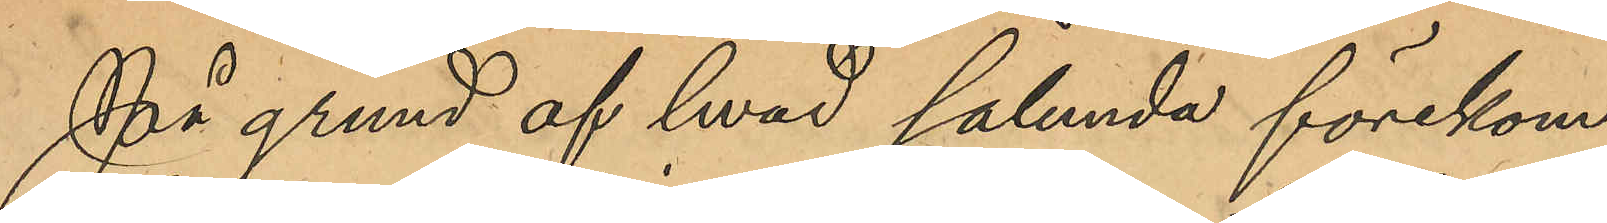På grund af hvad sålunda förekom¬
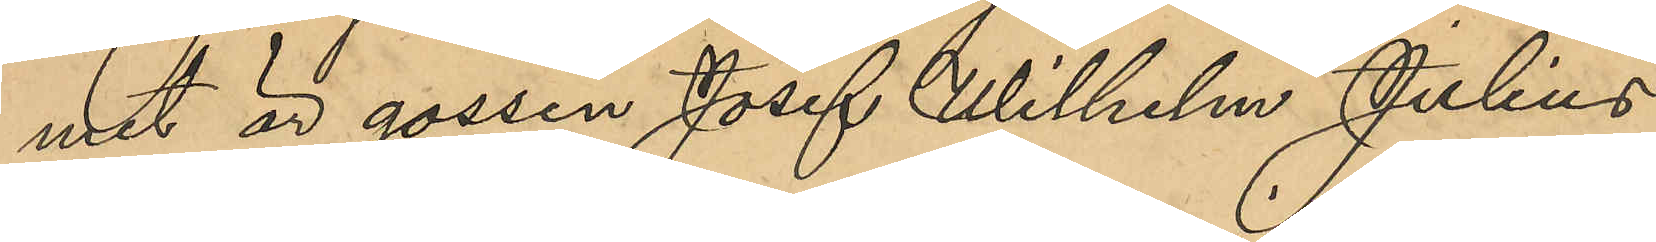mit är gossen Josef Wilhelm Julius
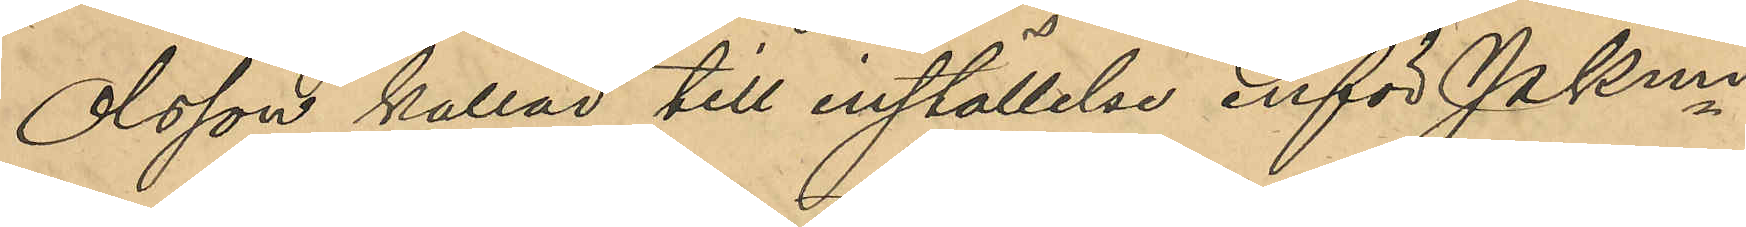Olsson kallad till inställelse inför PKmn
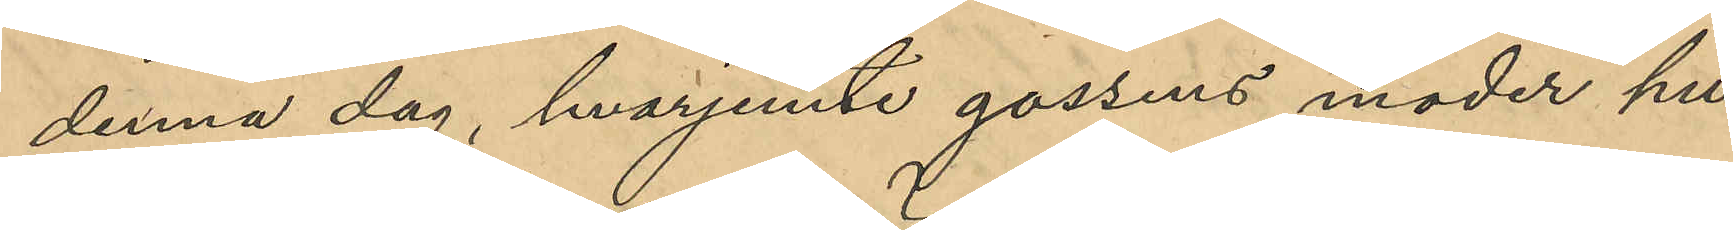denna dag hvarjemte gossens moder hu¬
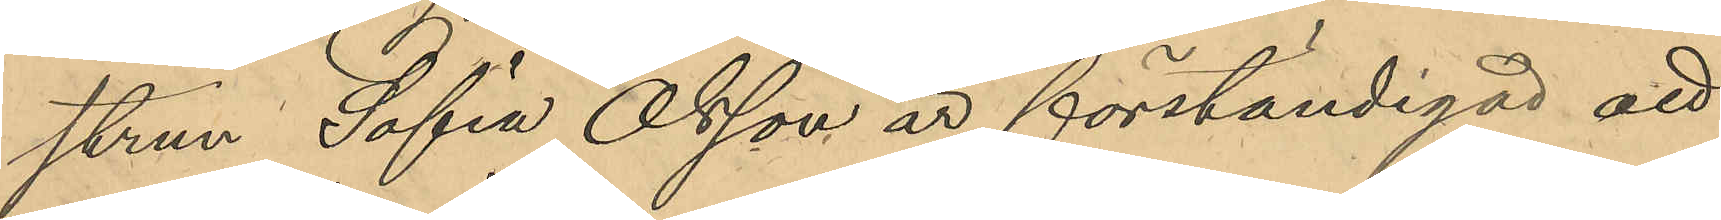strun Sofia Olsson är förständigad att
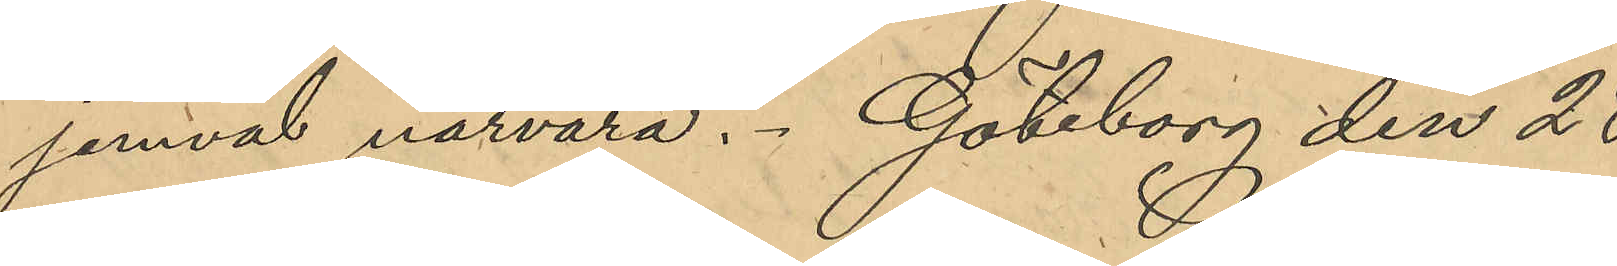jemväl närvara. Göteborg den 28
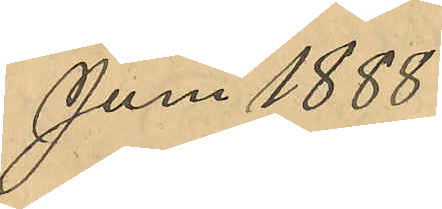Juni 1888.
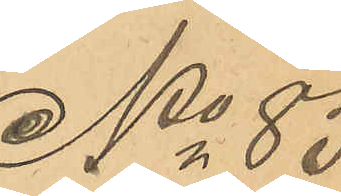No 83
